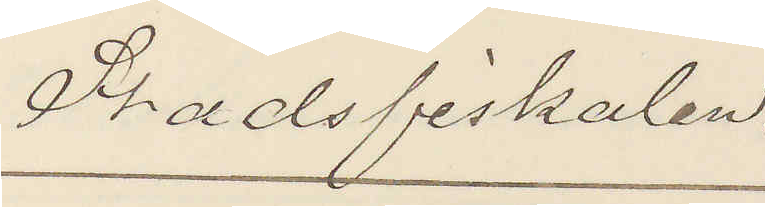Stadsfiskalen.
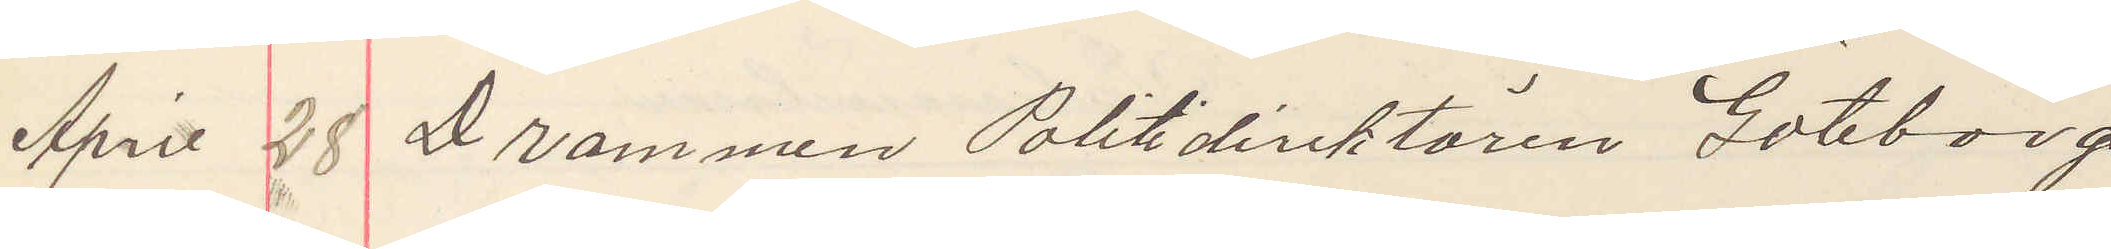April 28 Drammen Politidirektören Göteborg
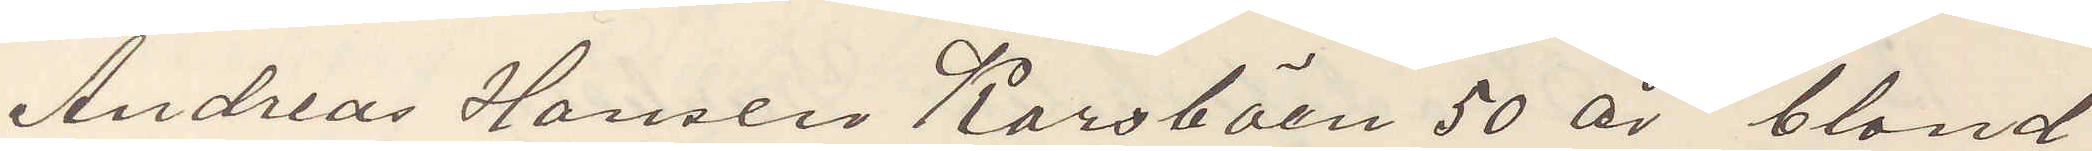Andreas Hansen Korsböen 50 år blond
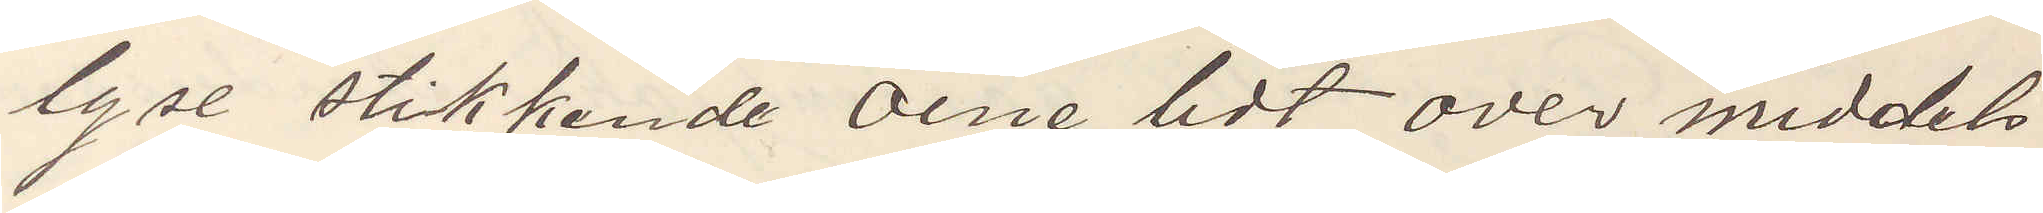lyse stikkende öine lidt over middels¬
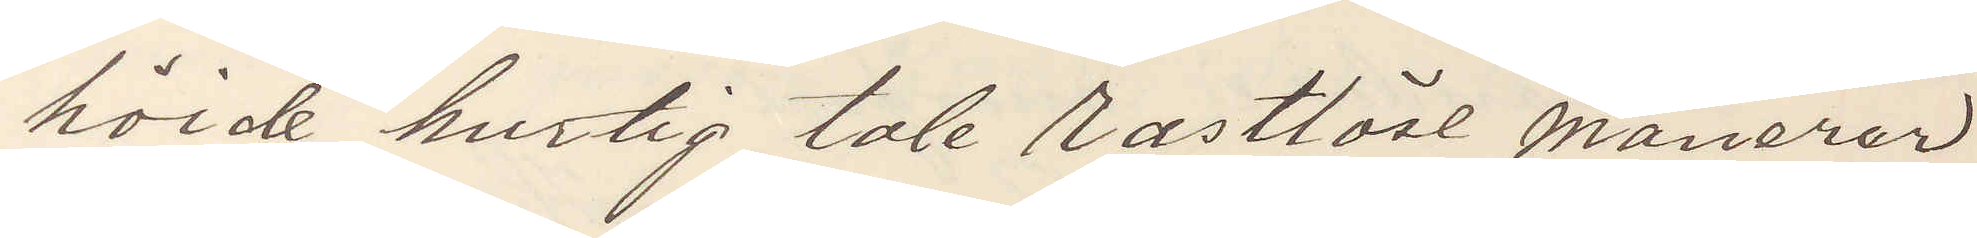höide hurtig tale rastlöse manerer
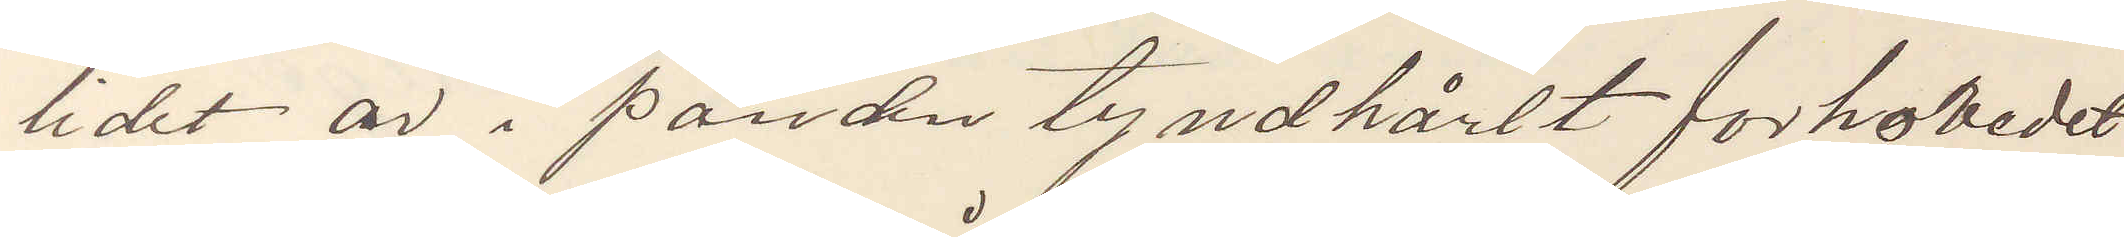lidet ar i panden tyndhårlt forhovedet
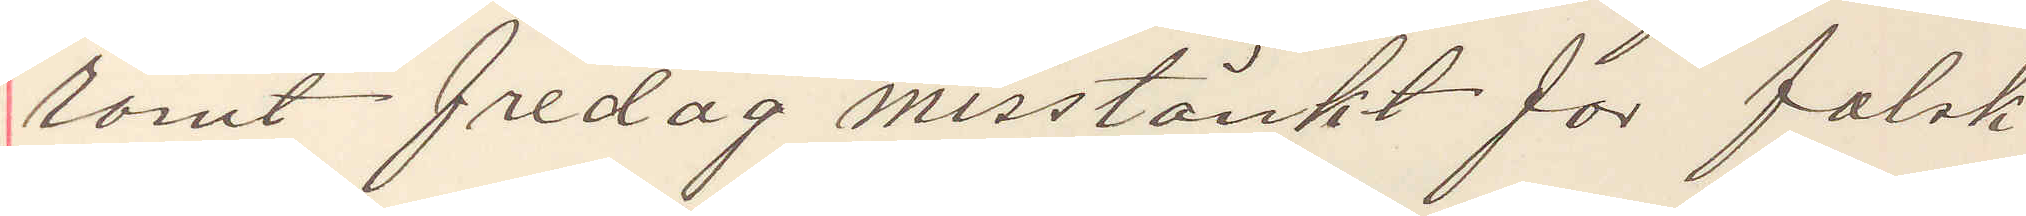römt fredag misstänkt for falsk
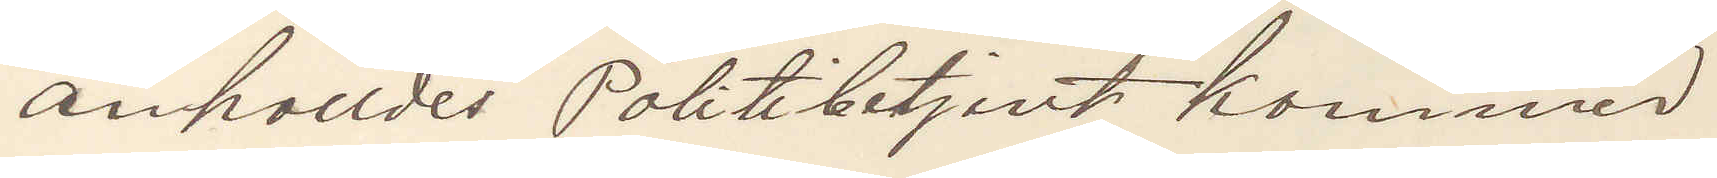anholldes Politibetjent kommer
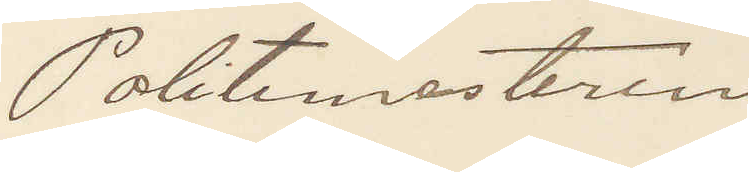Politimesteren
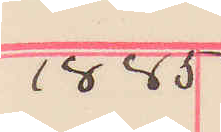1885
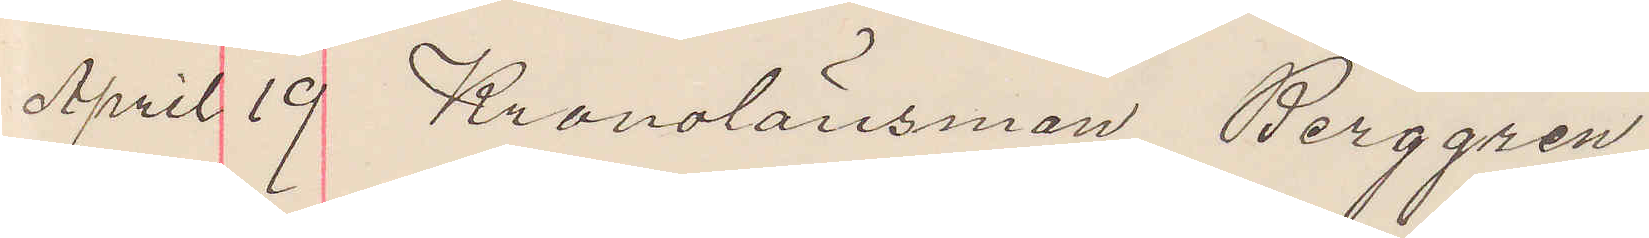April 19 Kronolänsman Berggren
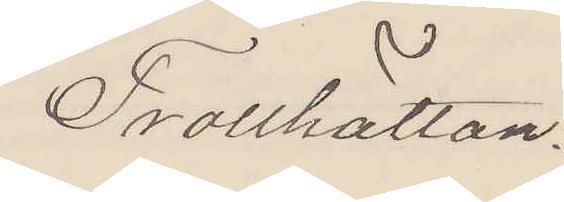Trollhättan.
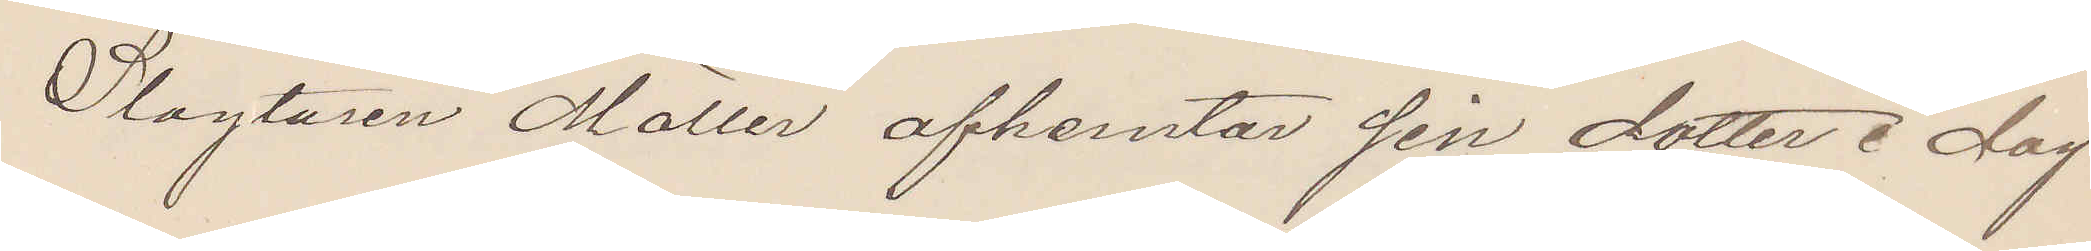Slagtaren Möller afhemtar sin dotter idag
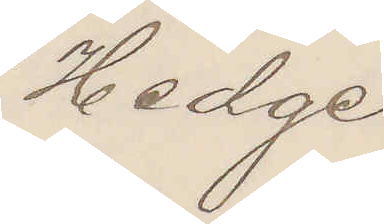Hedge
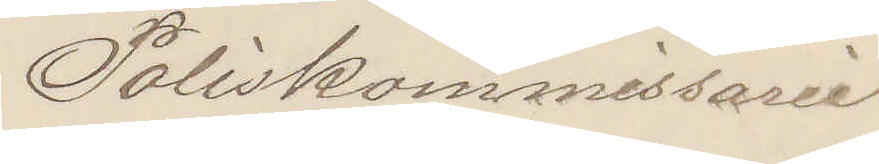Poliskommissarie.
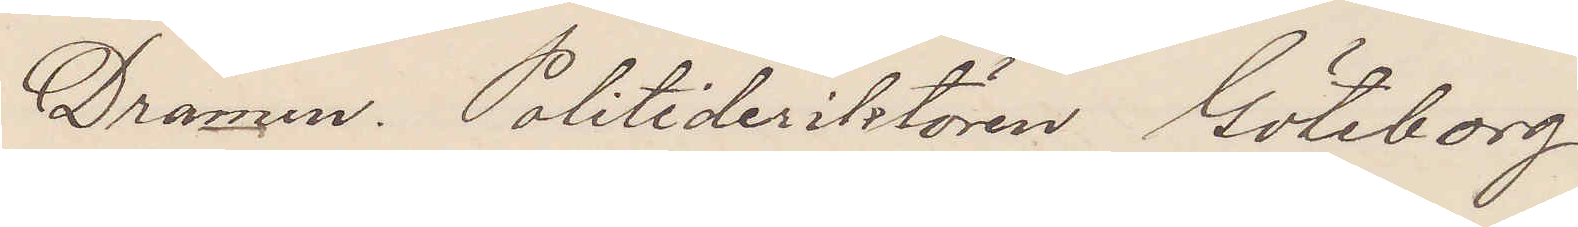Drammen Politidirektören Göteborg
